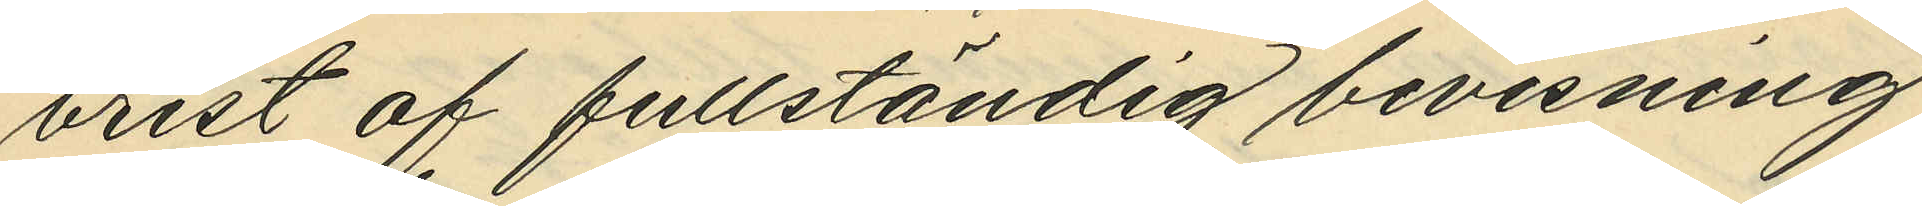brist af fullständig bevisning
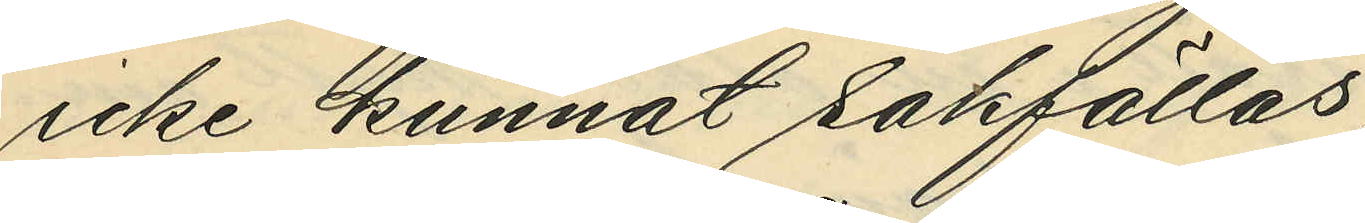icke kunnat sakfällas,
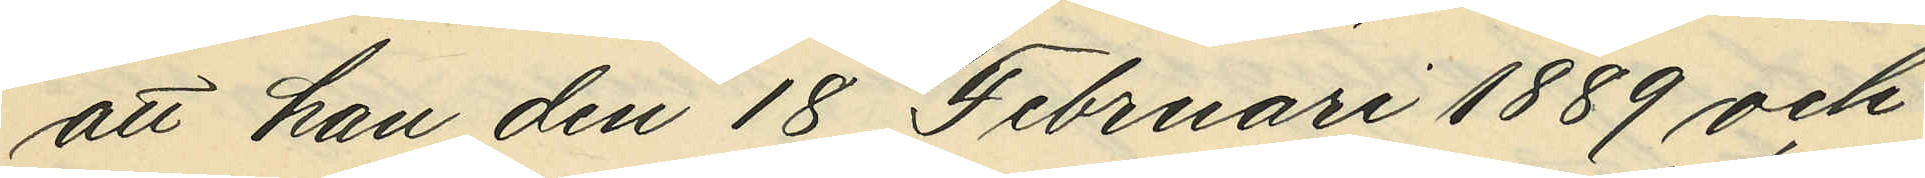att han den 18 Februari 1889 och
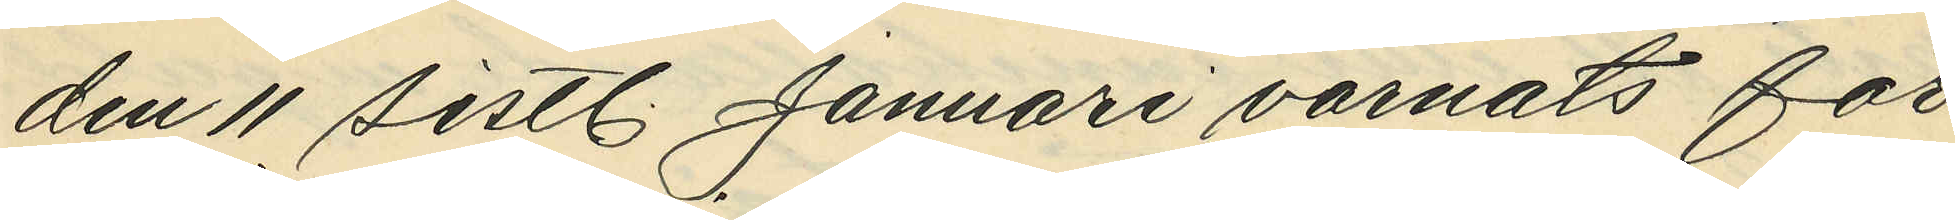den 11 sistl. Januari varnats för
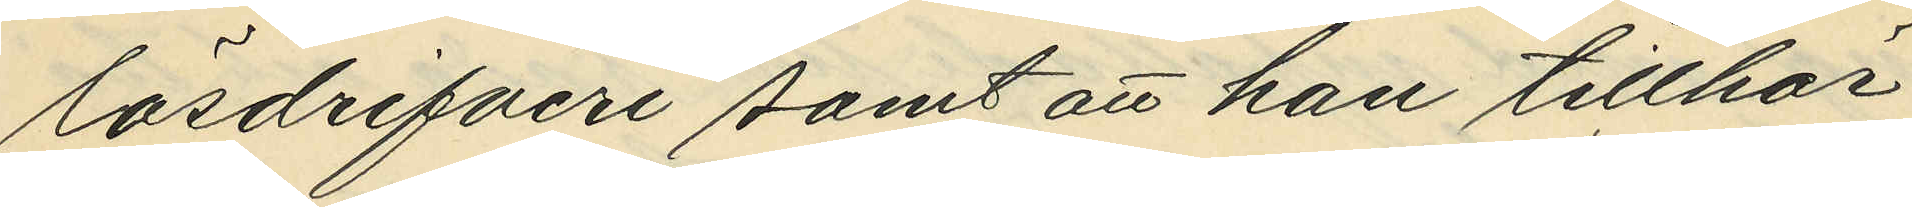lösdrifveri samt att han tillhör
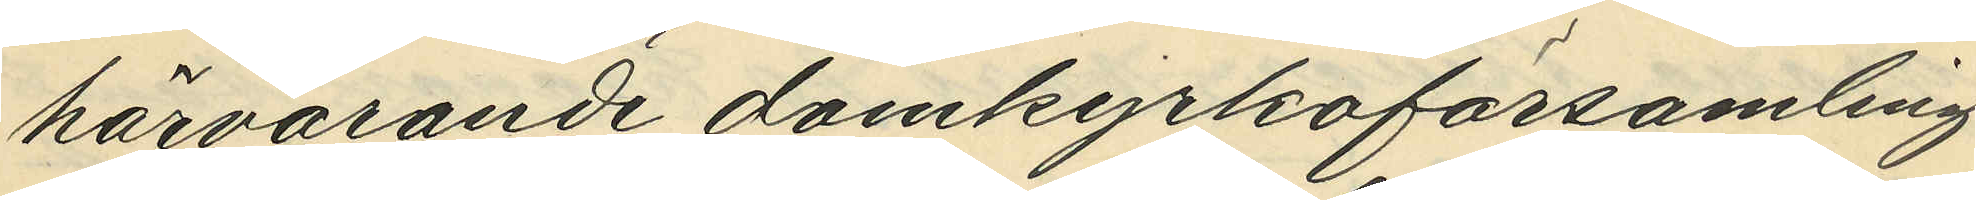härvarande domkyrkoförsamling.
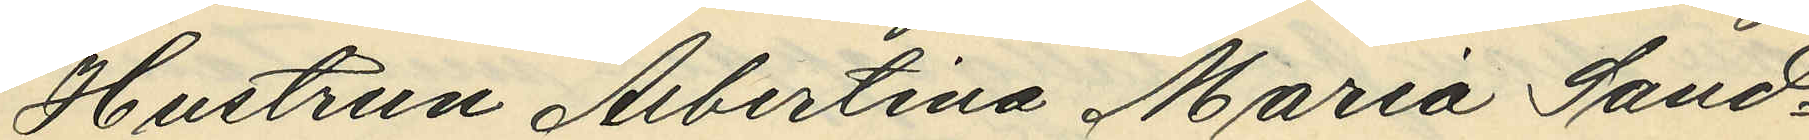Hustrun Albertina Maria Sand¬
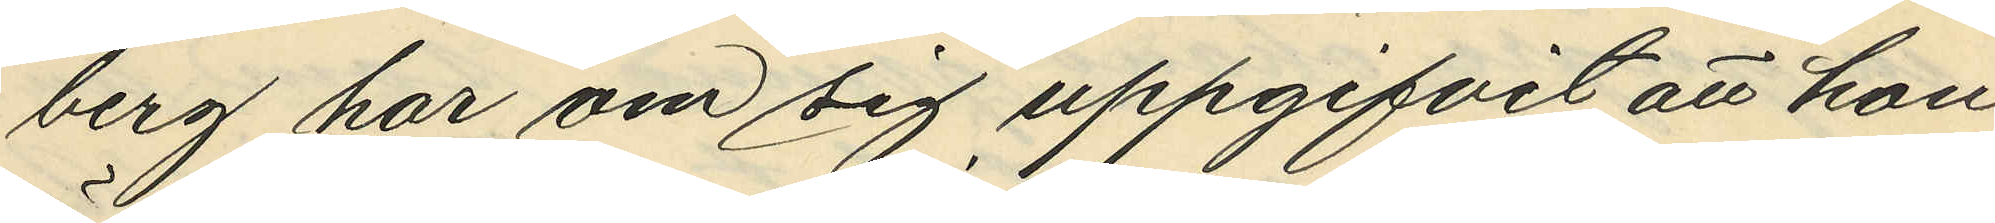berg har om sig uppgifvit att hon
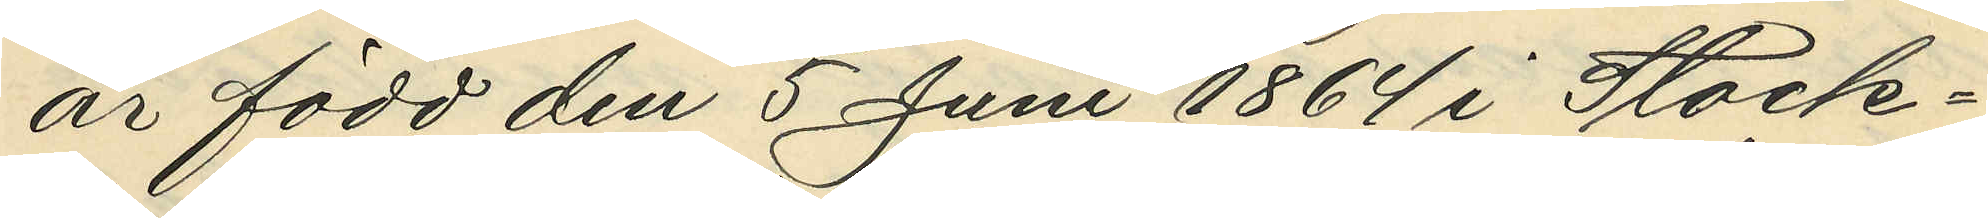är född den 5 Juni 1964 i Stock¬
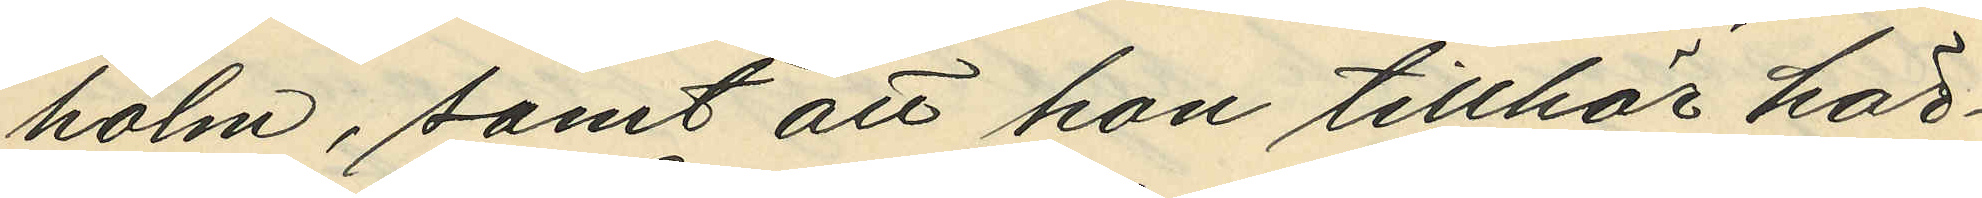holm, samt att hon tillhör här¬
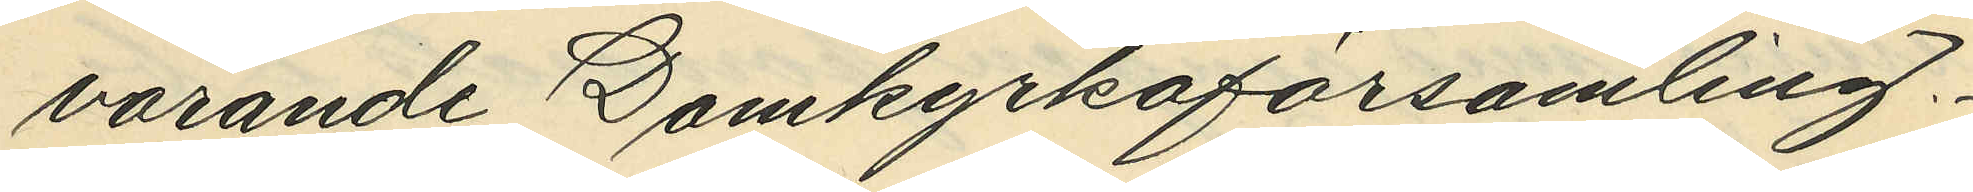varande Domkyrkoförsamling.
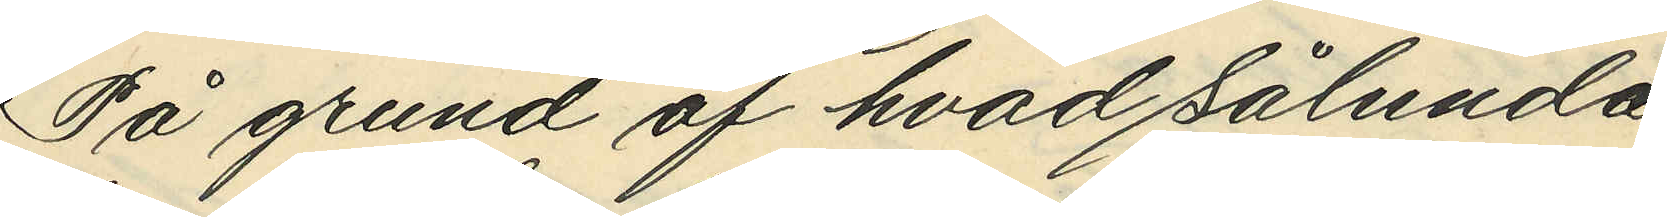På grund af hvad sålunda
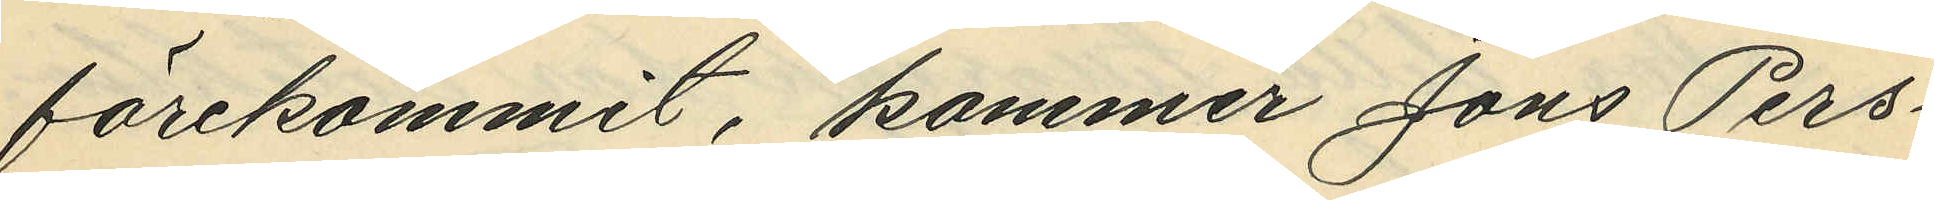förekommit, kommer Jöns Pers¬
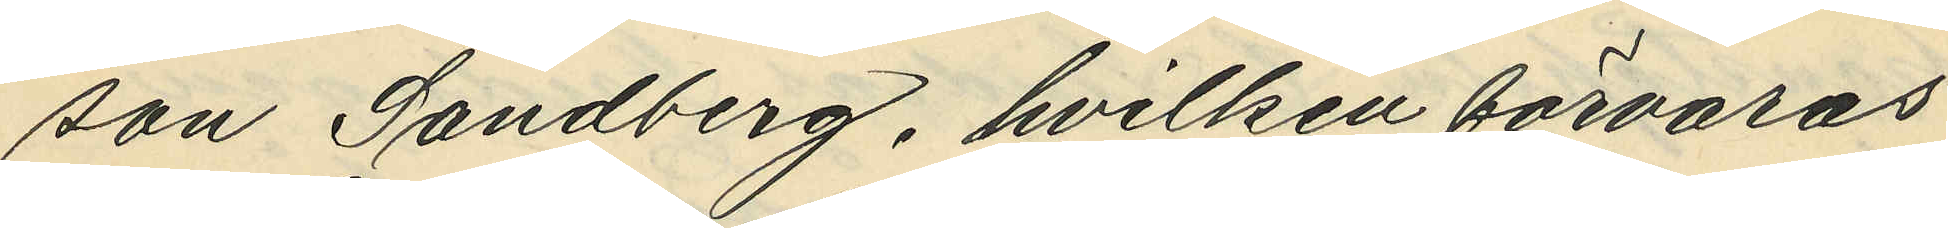son Sandberg, hvilken förvaras
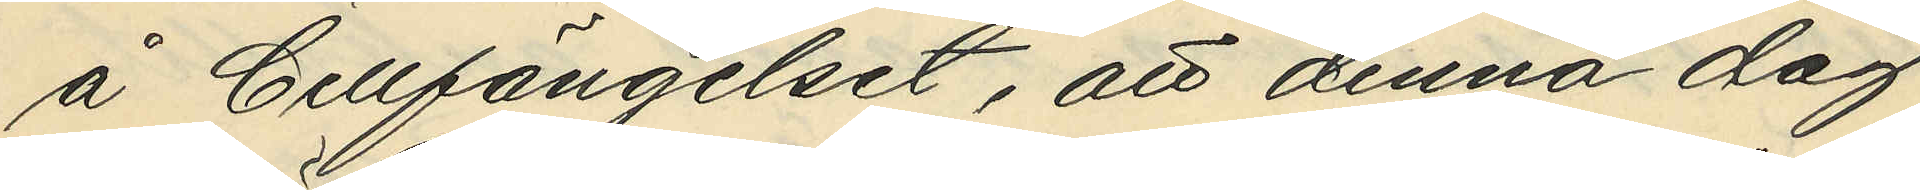å Cellfängelset, att denna dag
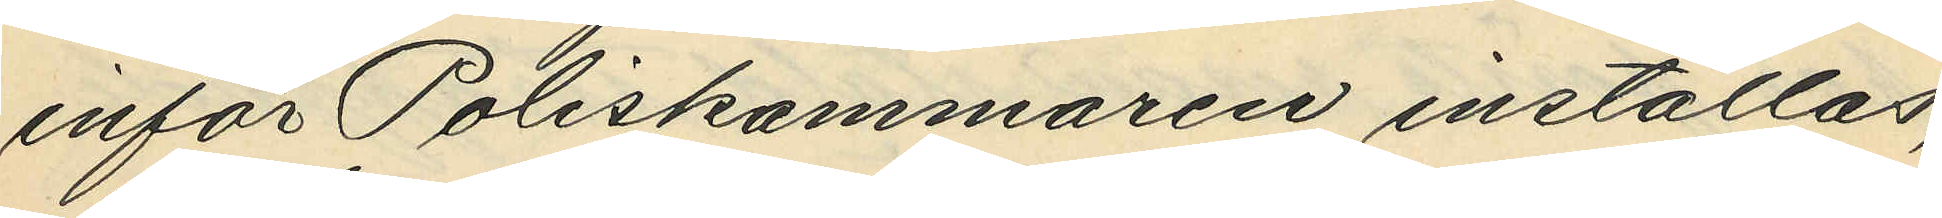inför Poliskammaren inställas,
